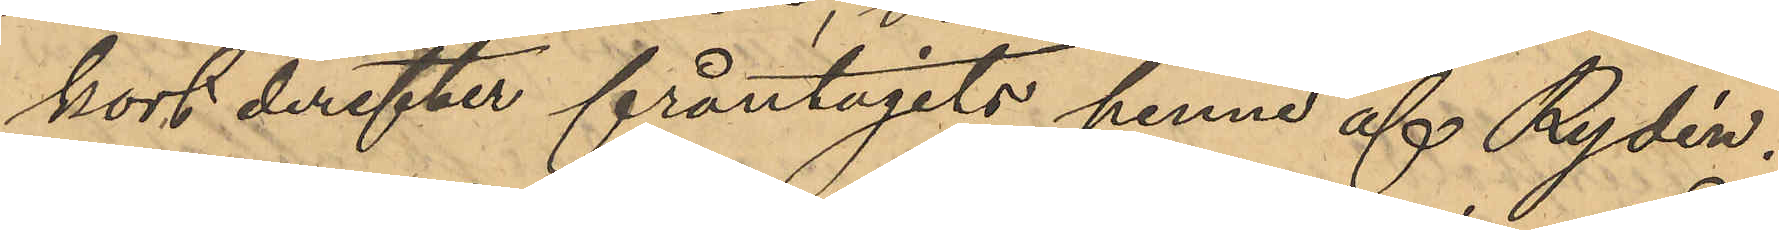kort derefter fråntagits henne af Rydén,
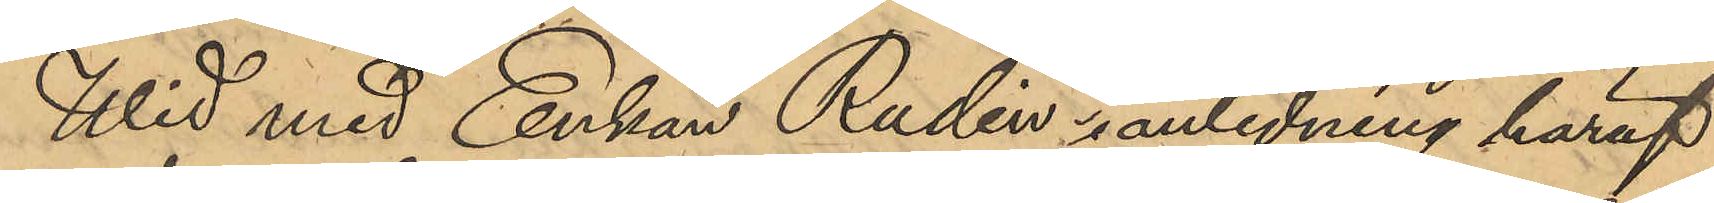Wid med Enkan Rudin i anledning häraf
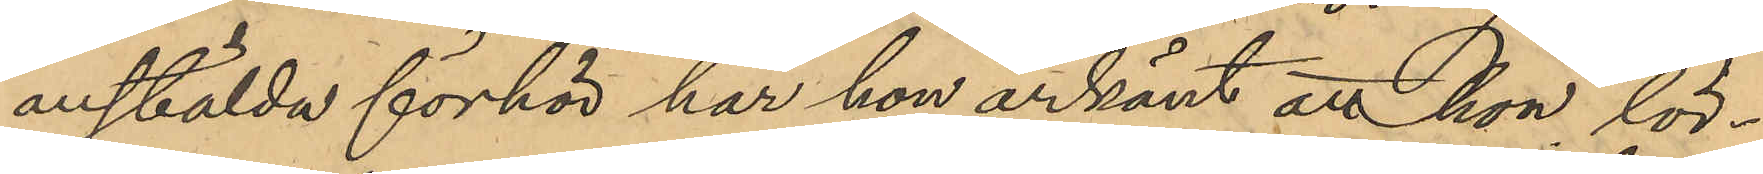anstälda förhör har hon erkänt att hon lör¬
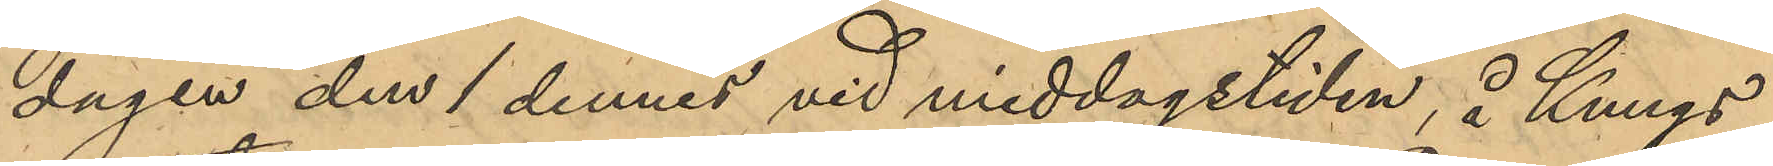dagen den 1 dennes vid middagstiden, å Kungs¬
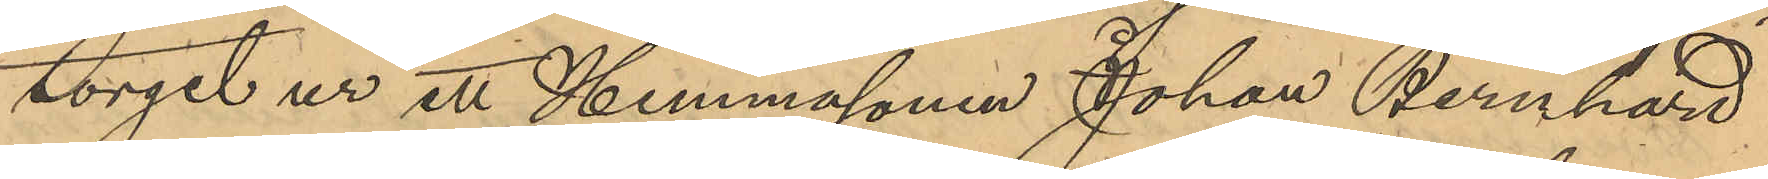torget ur ett Hemmasonen Johan Bernhard
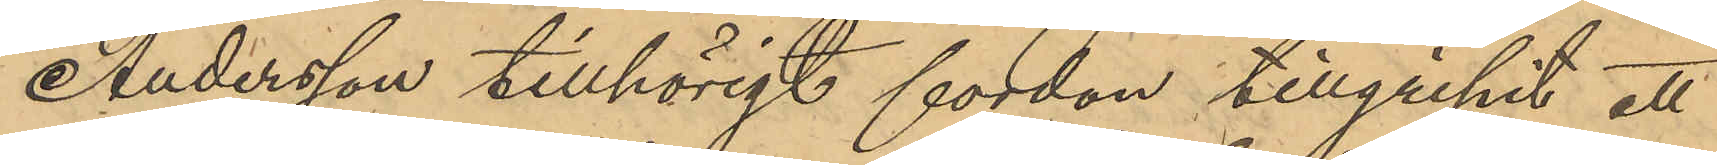Andersson tillhörigt fordon tillgripit ett
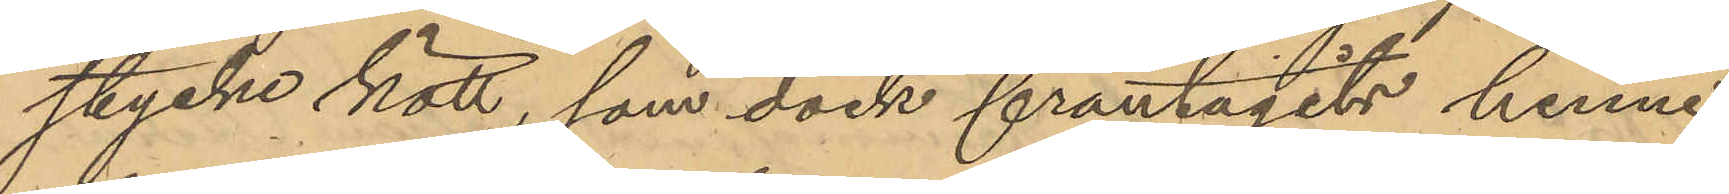stycke kott, som dock fråntagits henne
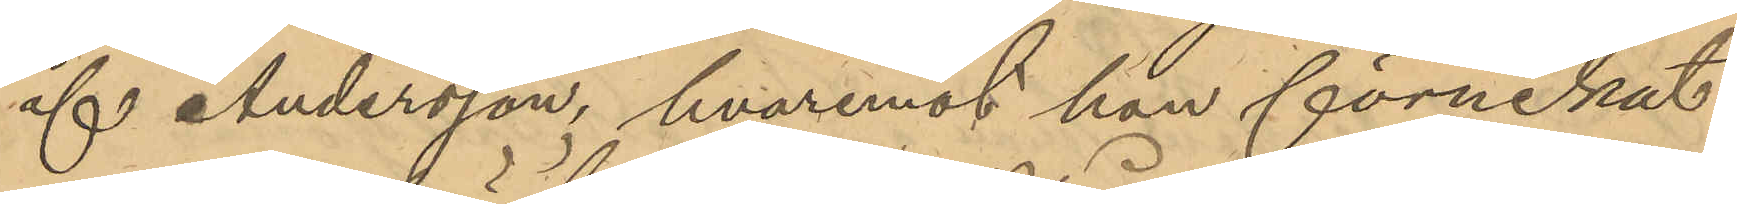af Andersson, hvaremot hon förnekat
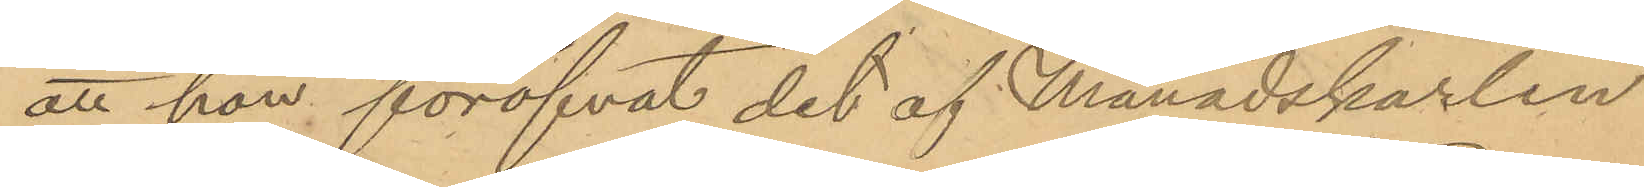att hon föröfvat det af Månadskarlen
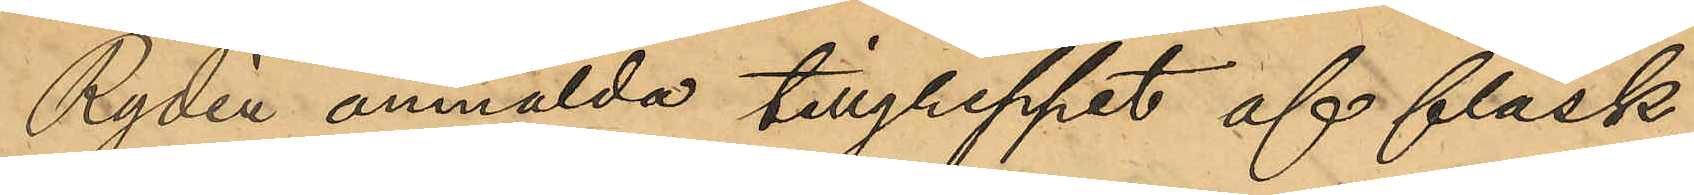Rydén anmälda tillgreppet af fläsk
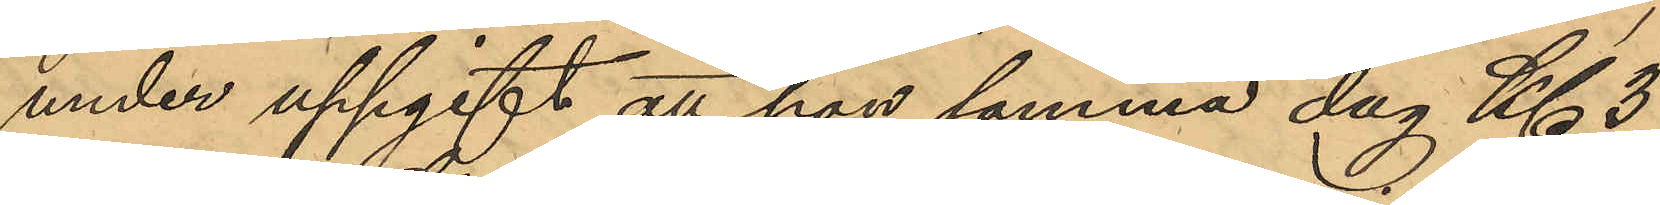under uppgift att hon samma dag Kl 3
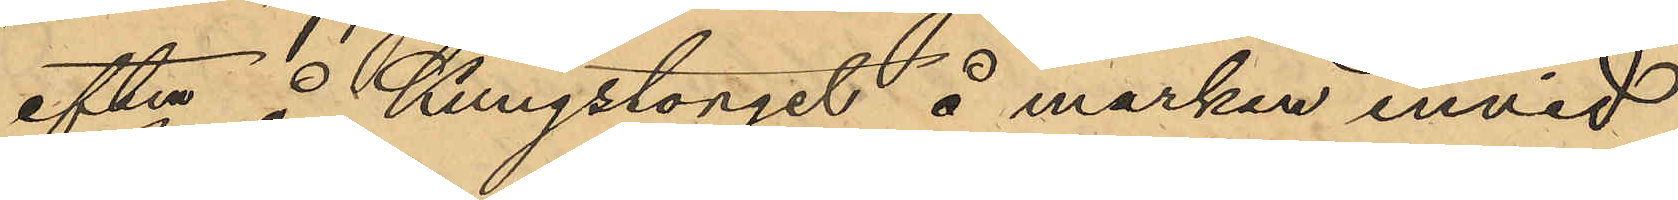eftm å Kungstorget å marken invid
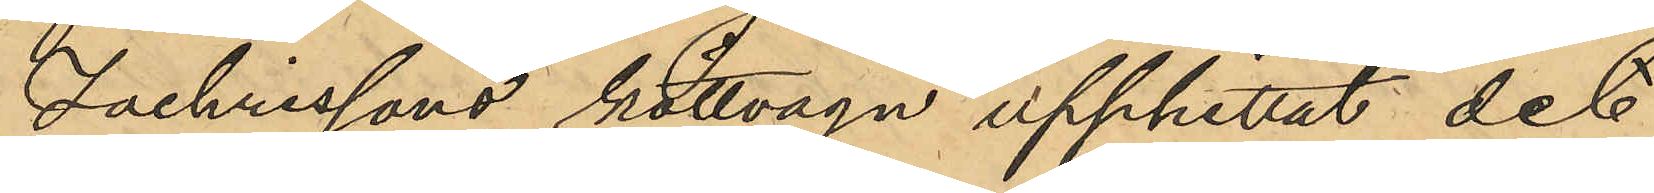Zachrissons köttvagn upphittat det
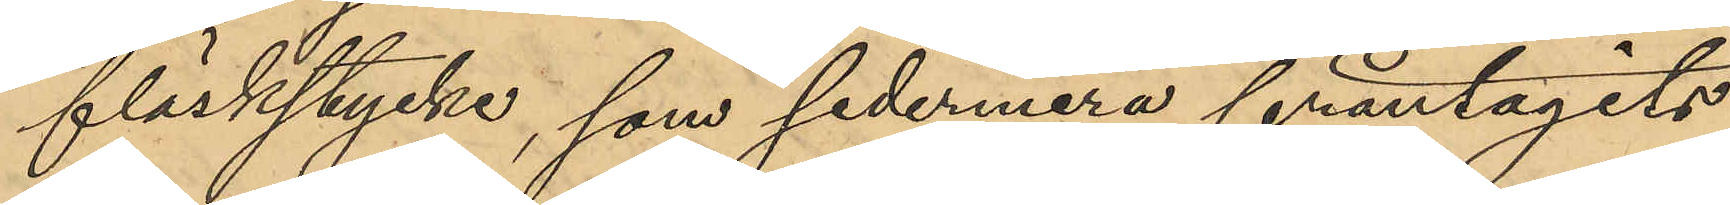fläskstycke, som sedermera fråntagits
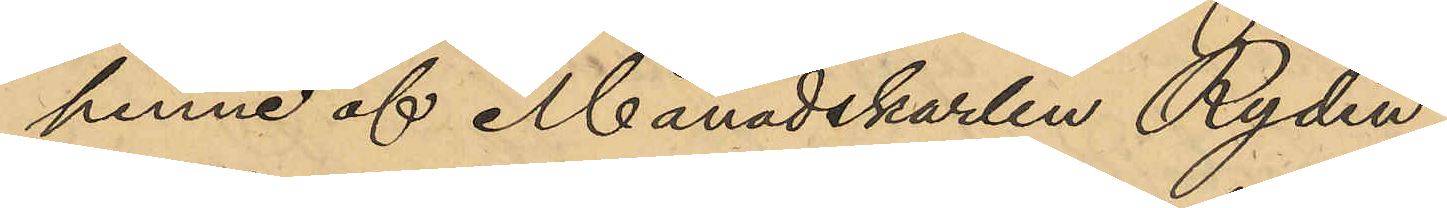henne af Månadskarlen Rydén.
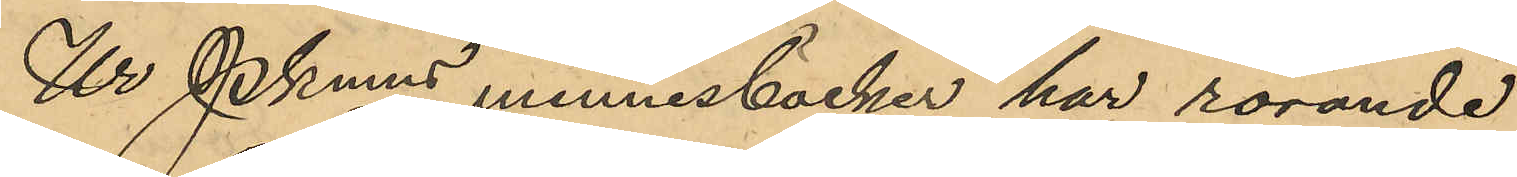Ur Pkmns minnesböcker har rörande
